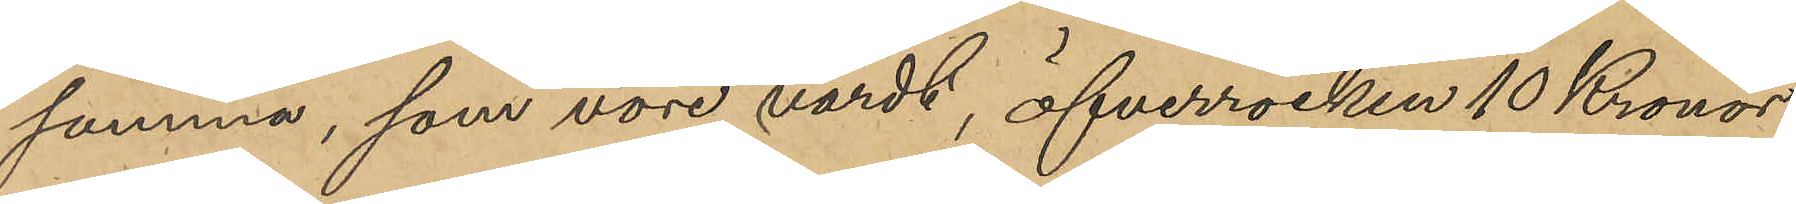samma, som vore värt, öfverrocken 10 Kronor,
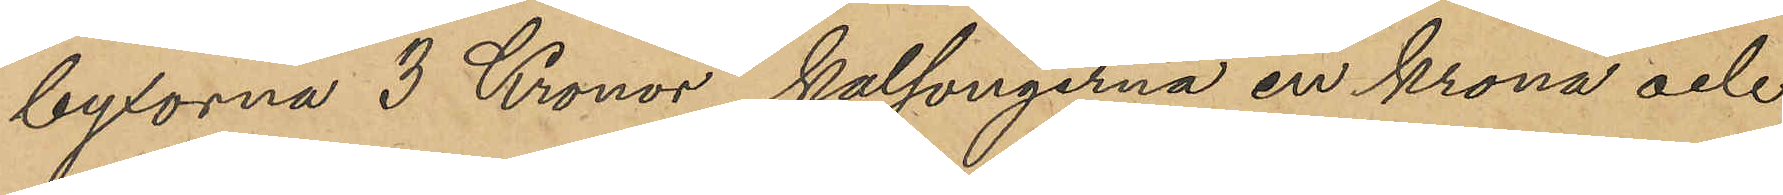byxorna 3 Kronor, kalsongerna en krona och
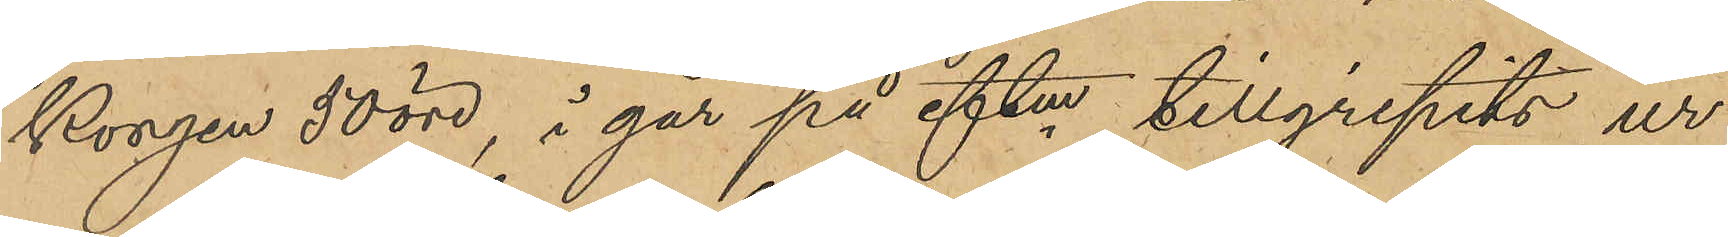korgen 50 öre, i går på eftm tillgripits ur
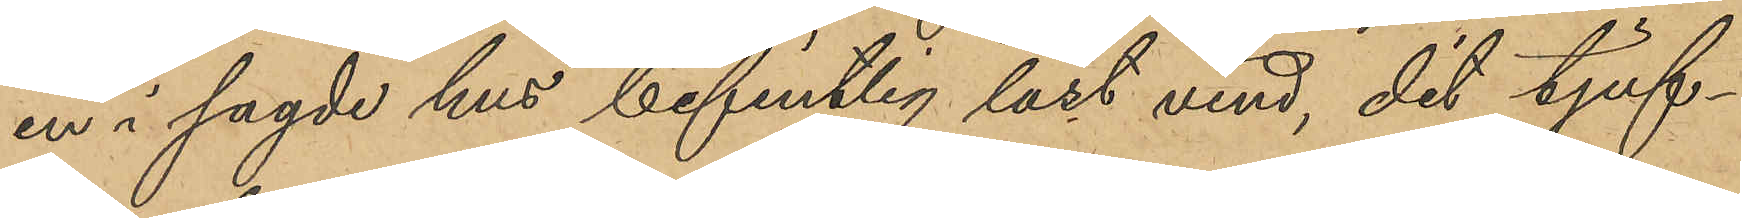en i sagde hus befintlig låst vind, dit tjuf¬
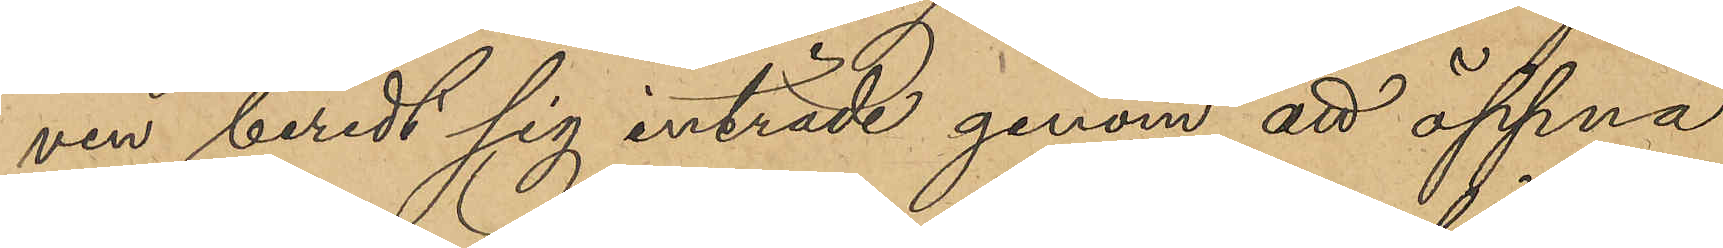ven beredt sig inträde genom att öppna
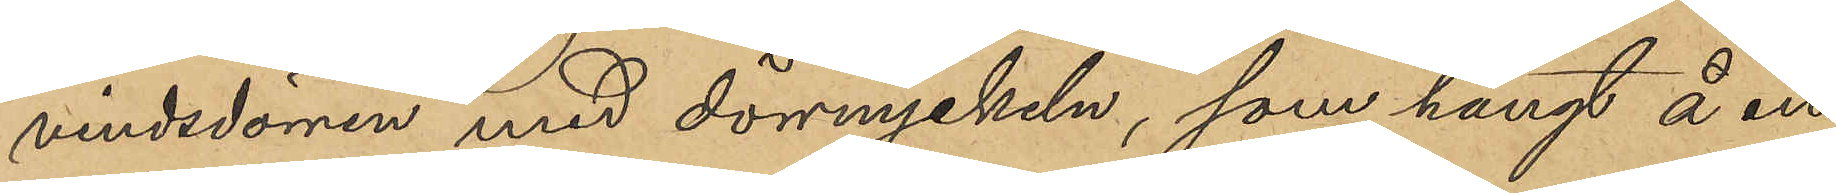vindsdörren med dörrnyckeln, som hängt å en
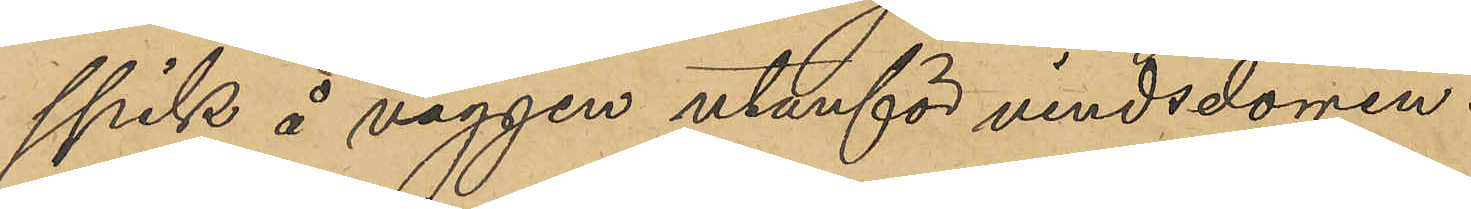spik å väggen utanför vindsdörren.
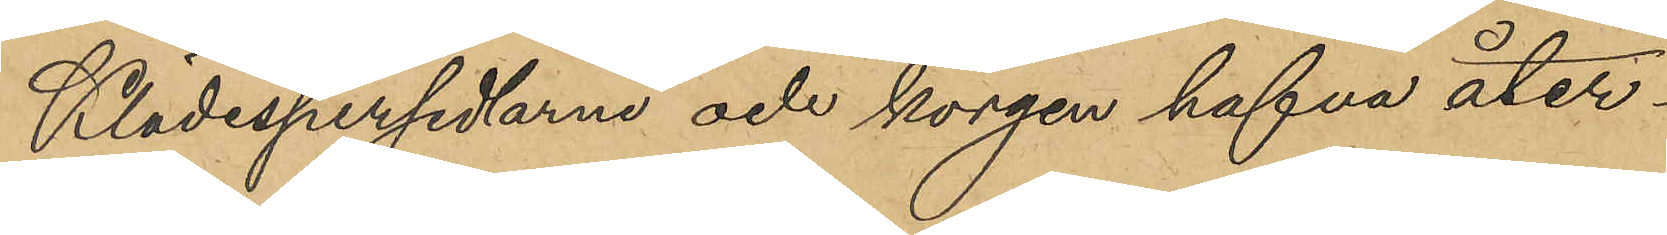Klädespersedlarna och korgen hafva åter¬
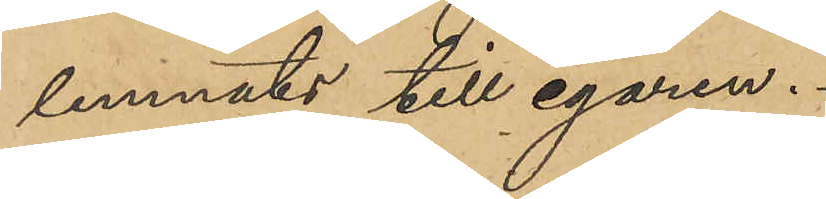lemnats till egaren.
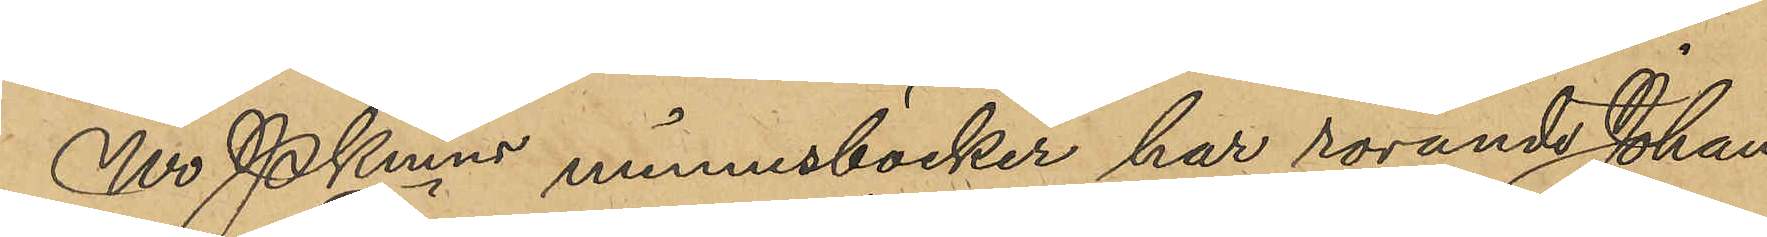Ur Pkmns minnesböcker har rörande Johan
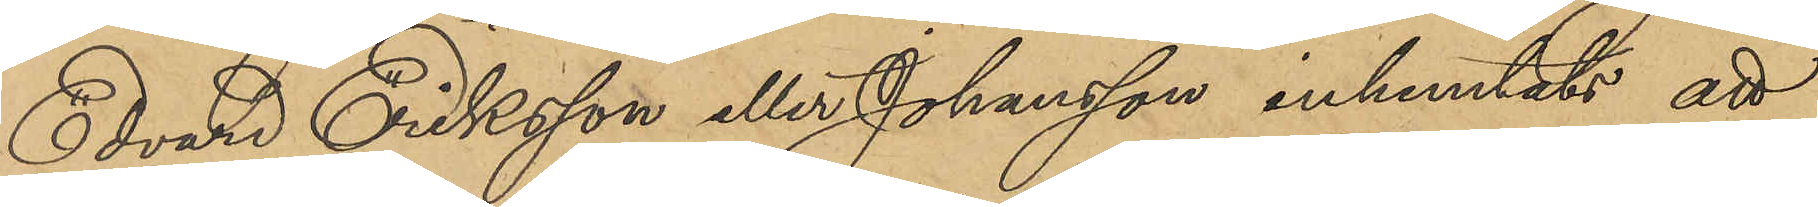Edvard Eriksson eller Johansson inhemtats att
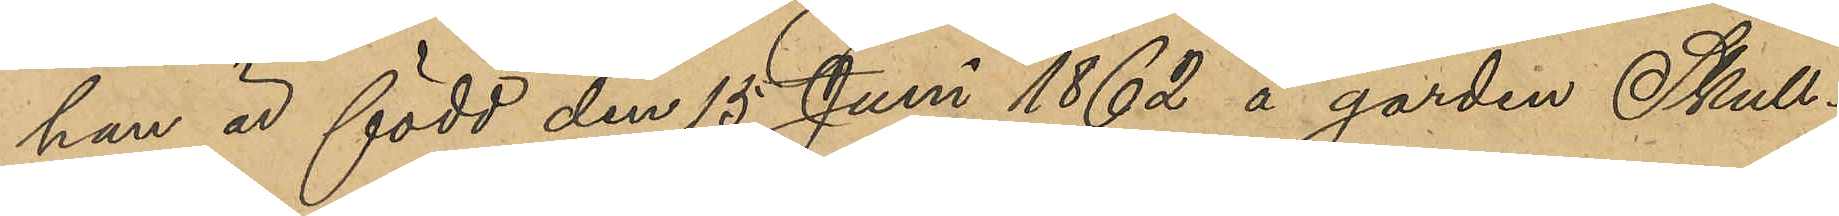han är född den 15 Juni 1862 å gården Skull¬
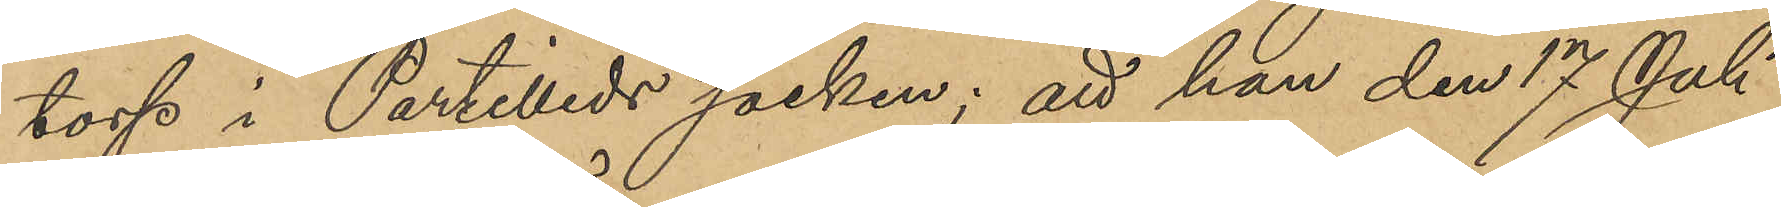torp i Partilleds socken; att han den 17 Juli
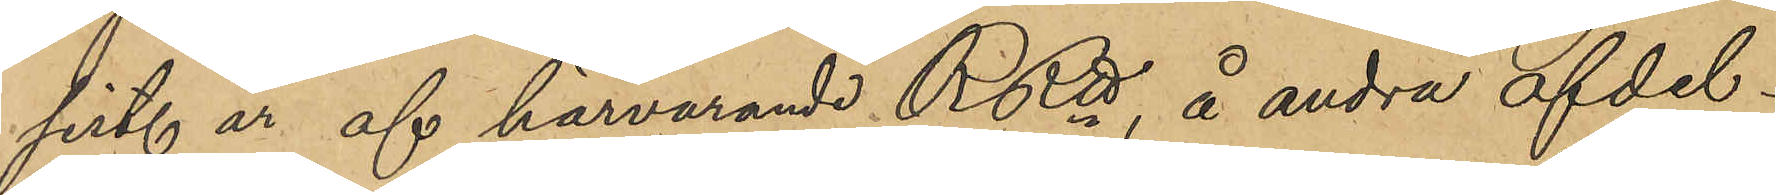sist. år af härvarande RRtt, å andra afdel¬
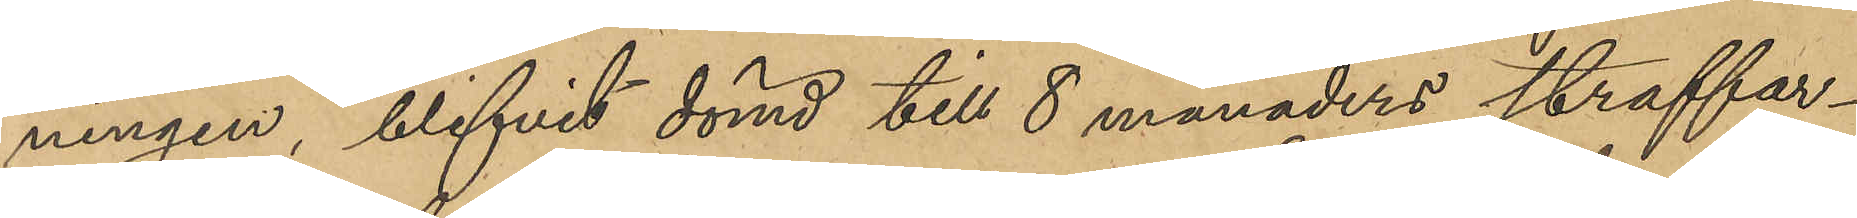ningen, blifvit dömd till 8 månaders straffar¬
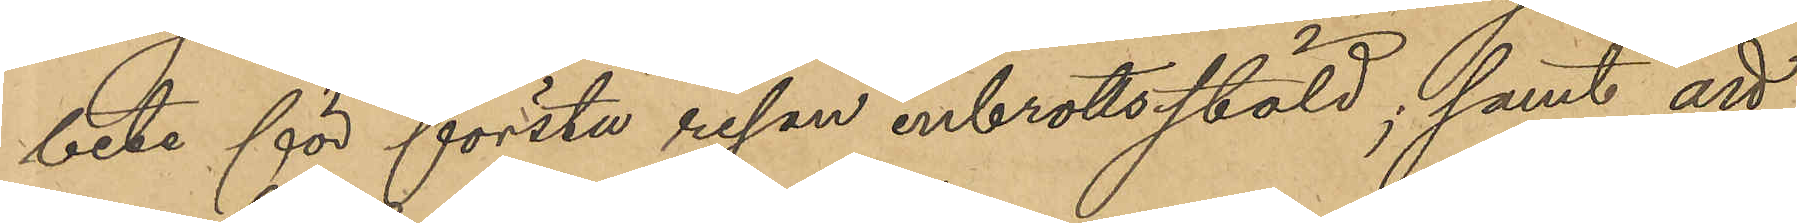bete för första resan inbrottstöld; samt att
